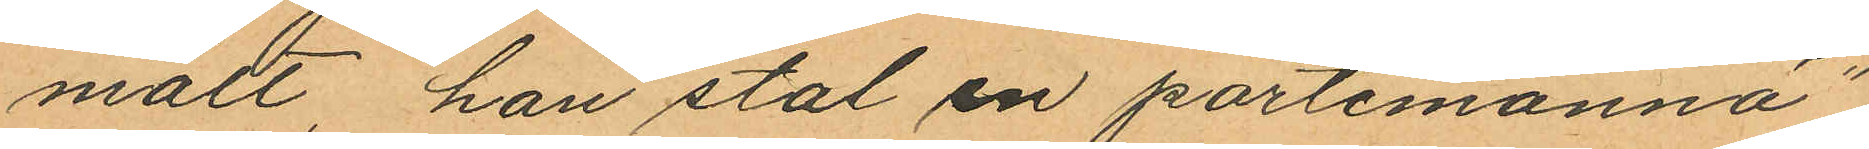mält, "han stal en portemonnä";
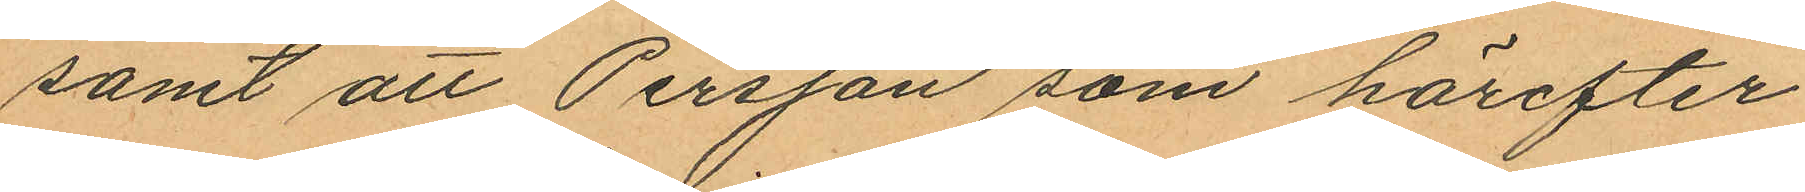samt att Persson som härefter
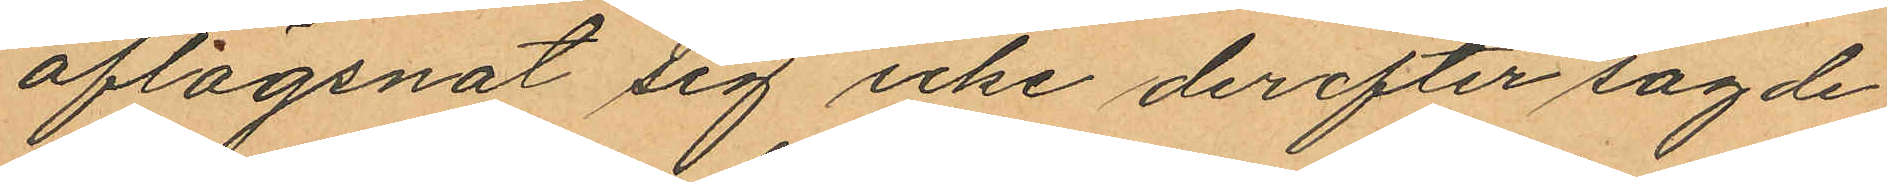aflägsnat sig icke derefter sagde
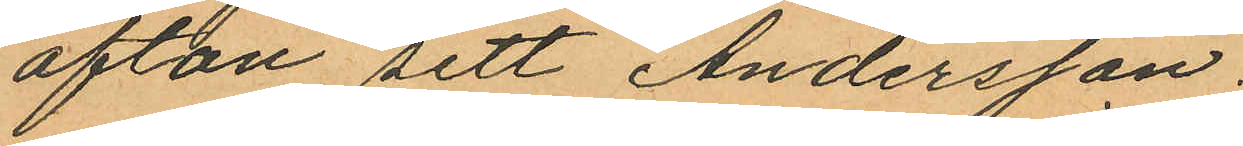afton sett Andersson.
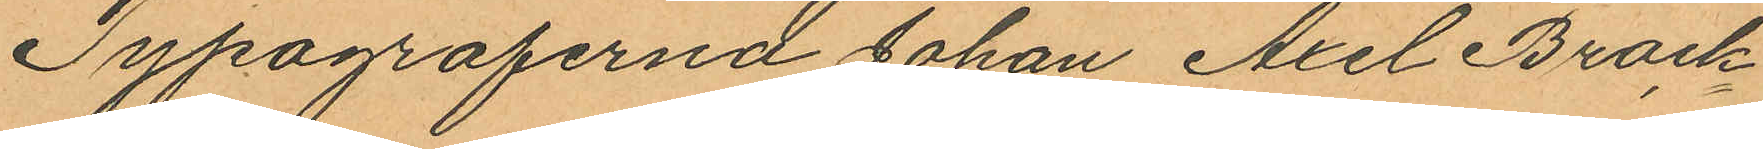Typograferna Johan Axel Brock¬
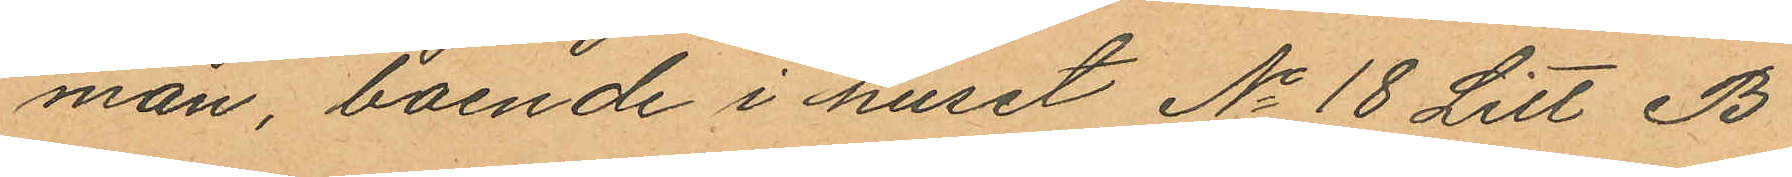man, boende i huset No 18 Litt B
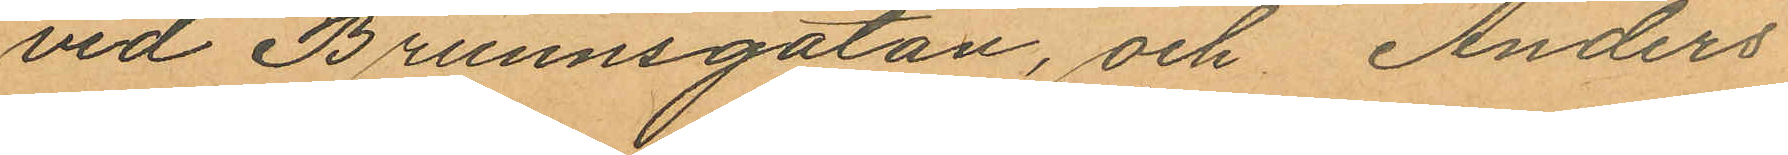vid Brunnsgatan, och Anders
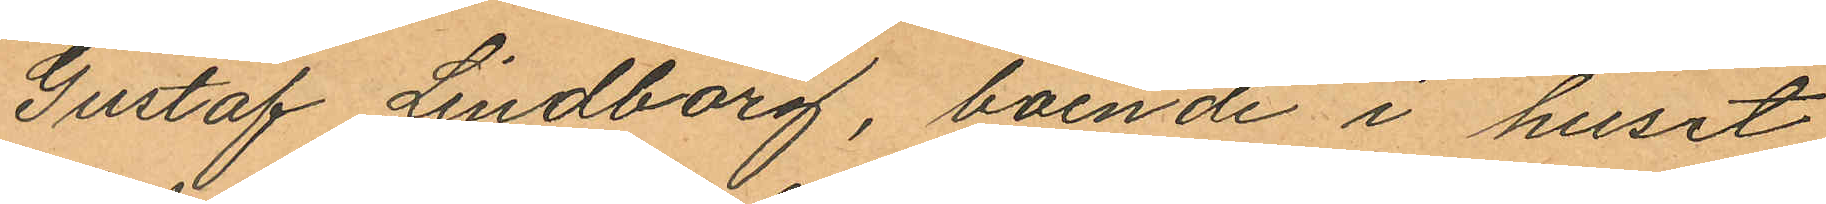Gustaf Lindborg, boende i huset
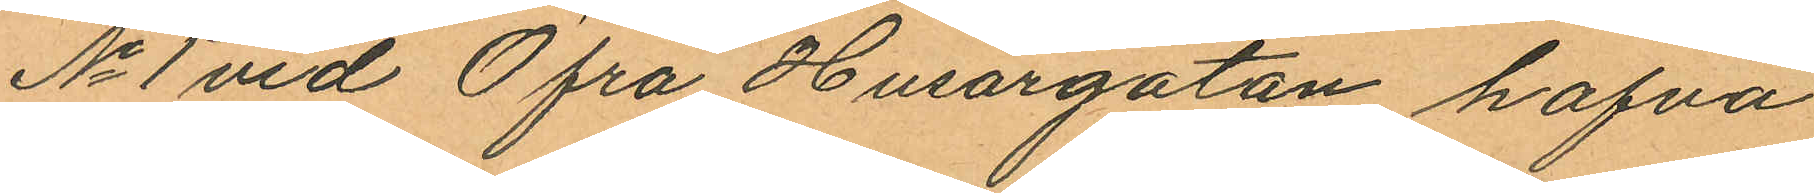No 1 vid Öfra Husargatan hafva
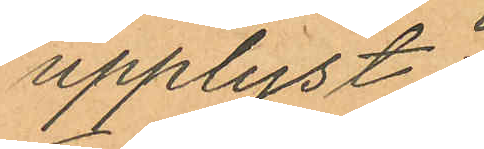upplyst:
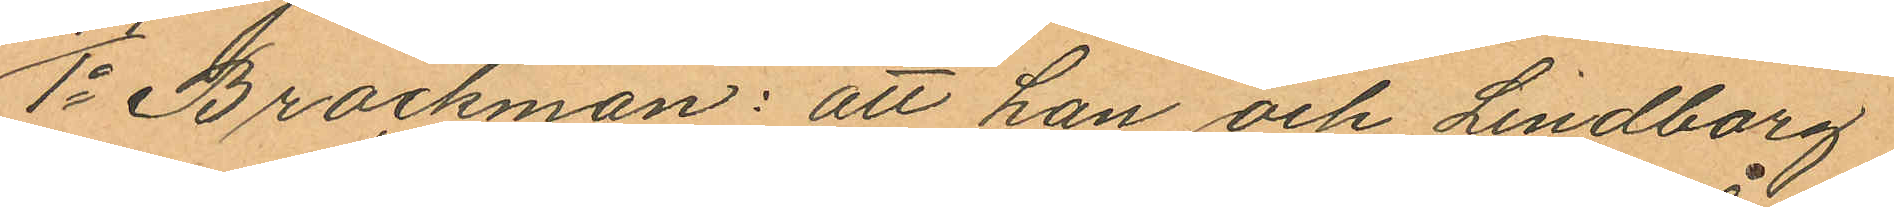1o Brockman: att han och Lindborg
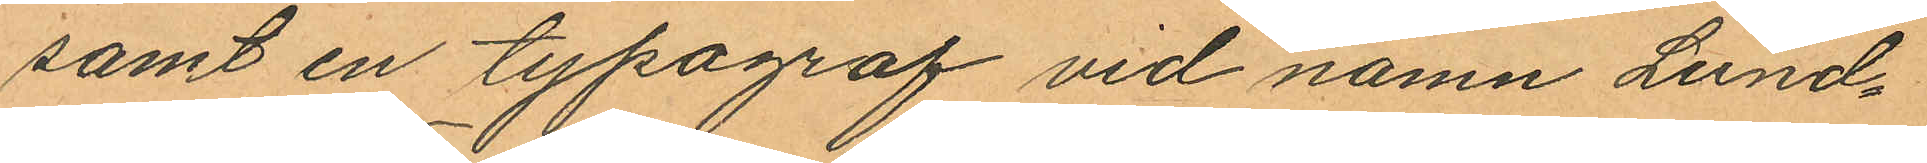samt en typograf vid namn Lund¬
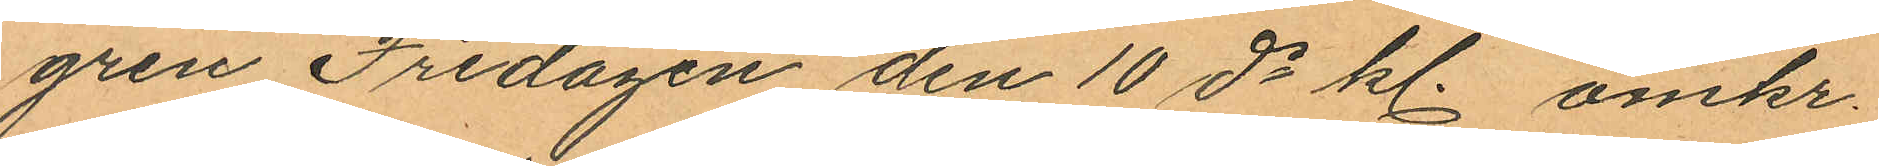gren Fredagen den 10 ds kl. omkr.
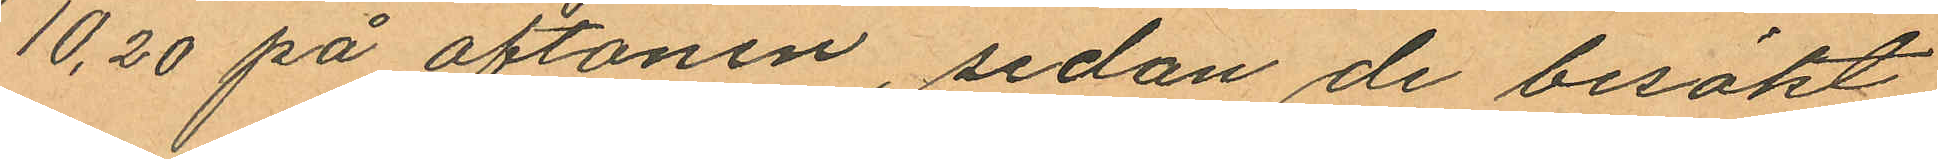10,20 på aftonen, sedan de besökt
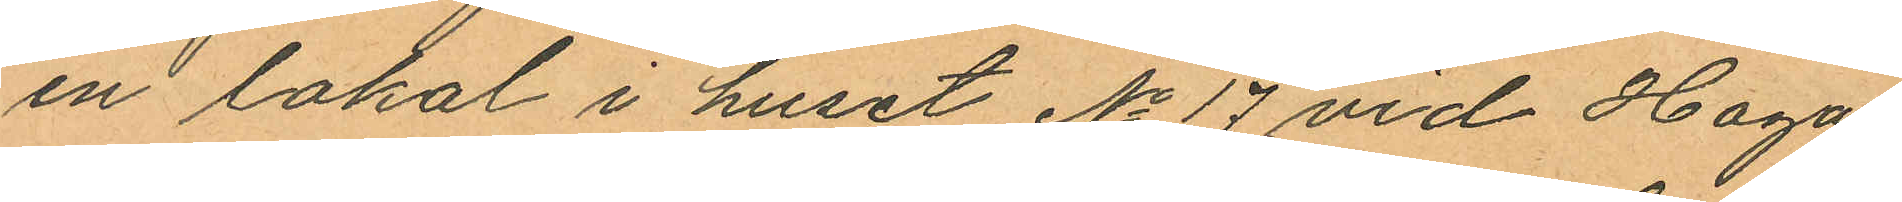en lokal i huset No 17 vid Haga
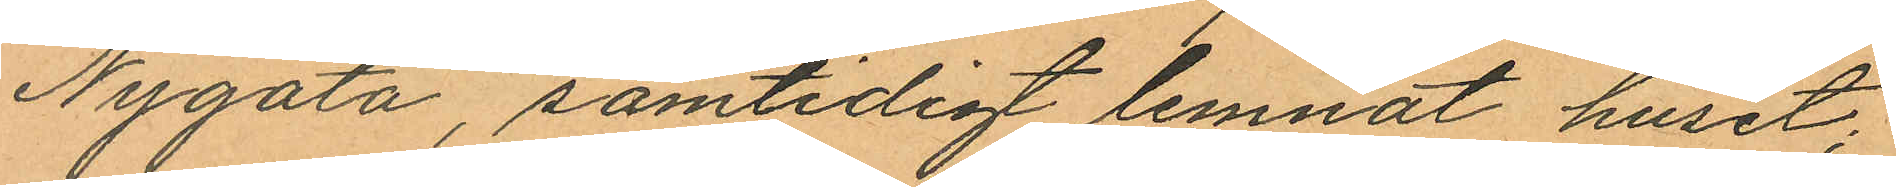Nygata, samtidigt lemnat huset;
